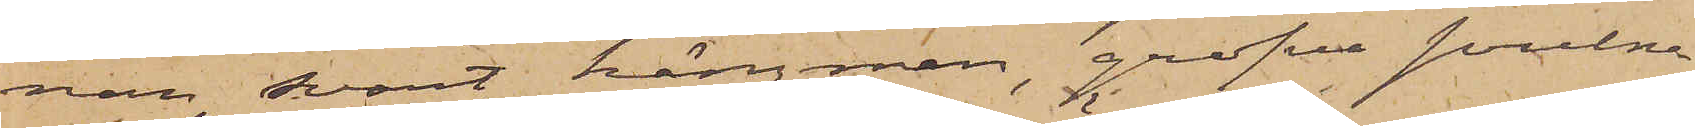nan, svart hängman, grofva svulna
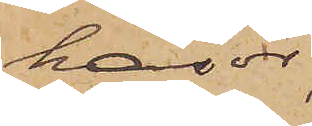hasor,
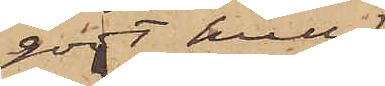godt hull
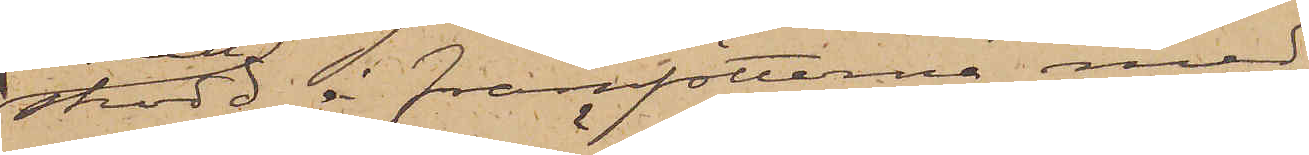skodd å framfötterna med
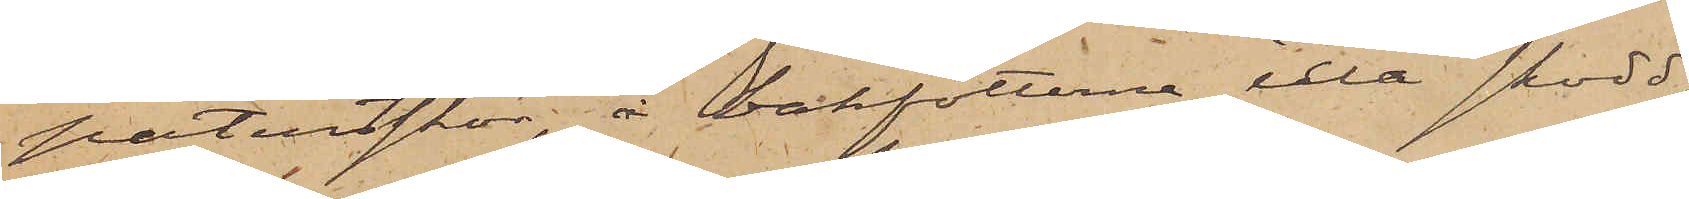patentskor, å bakfötterna illa skodd,
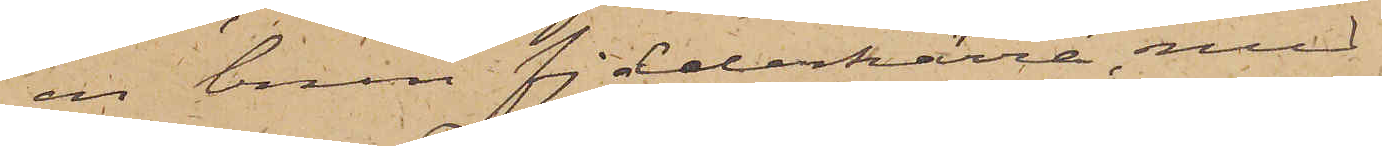en brun fjederkärra med
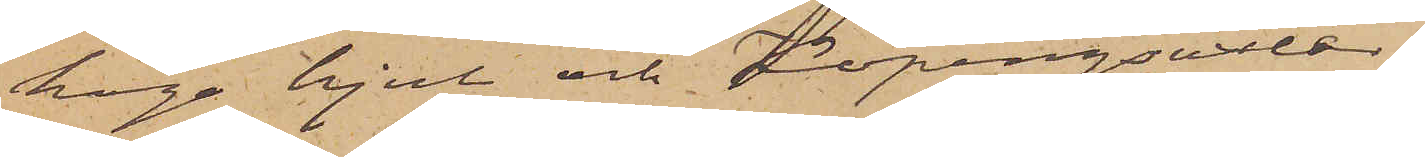höga hjul och Köpingsaxlar
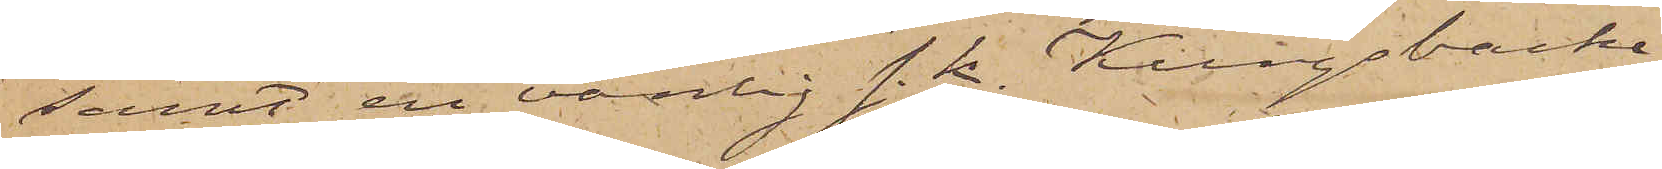samt en vanlig s. k. Kungsbacka¬
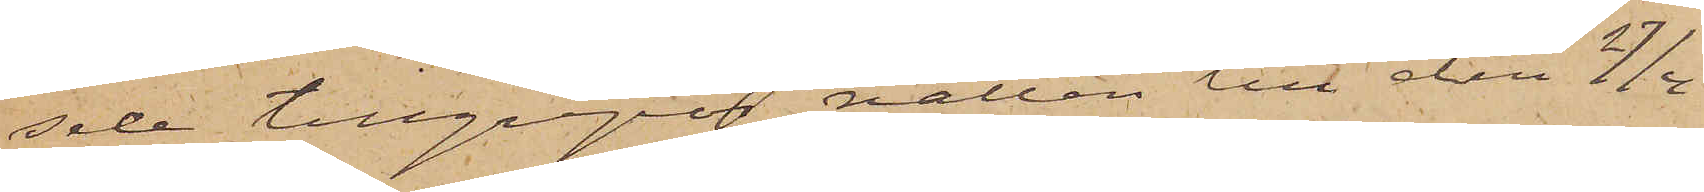sele tillgrepos natten till den 27/4
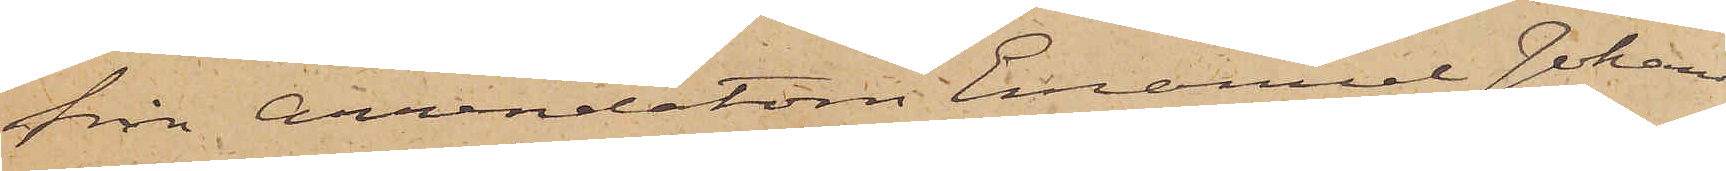från Arrendatorn Emanuel Johans¬
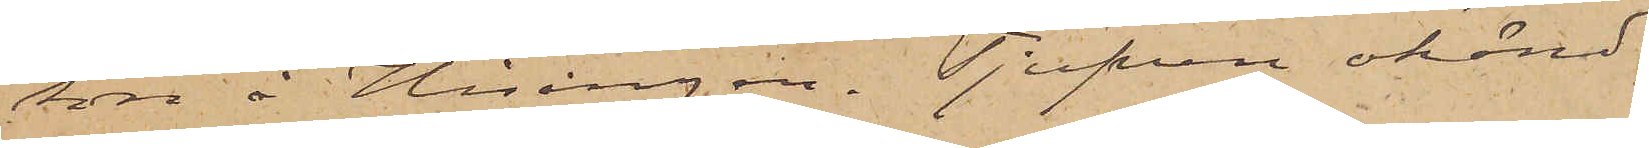son å Hisingen. Tjufven okänd.
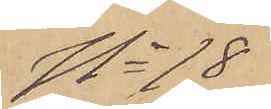No 18
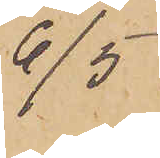6/5
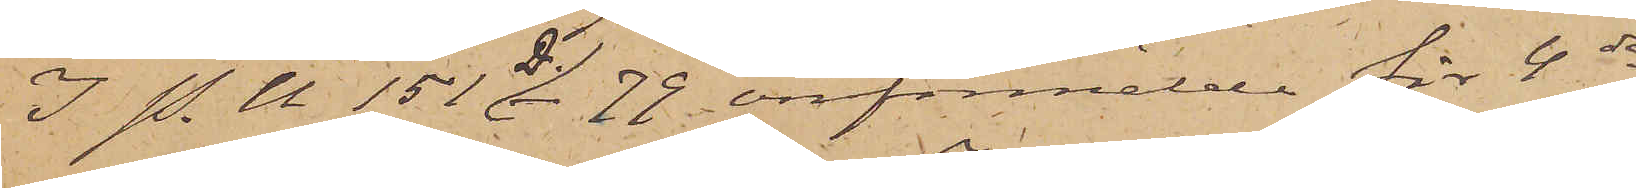I. P. U 151 D. _ 79 omförmälde för 4de
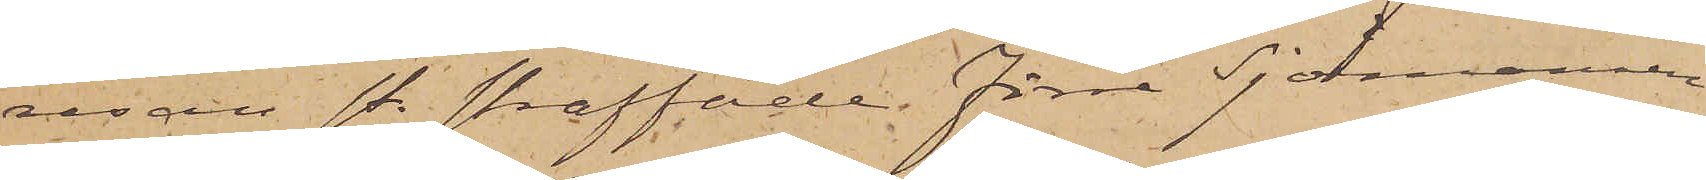resan st. straffade Förre Sjömannen
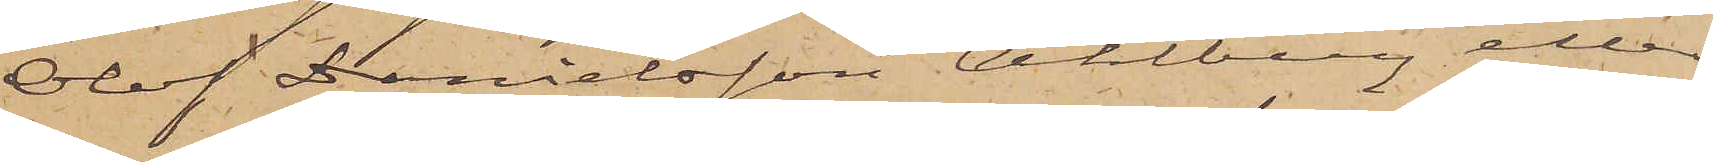Olof Danielsson Ahlberg eller
